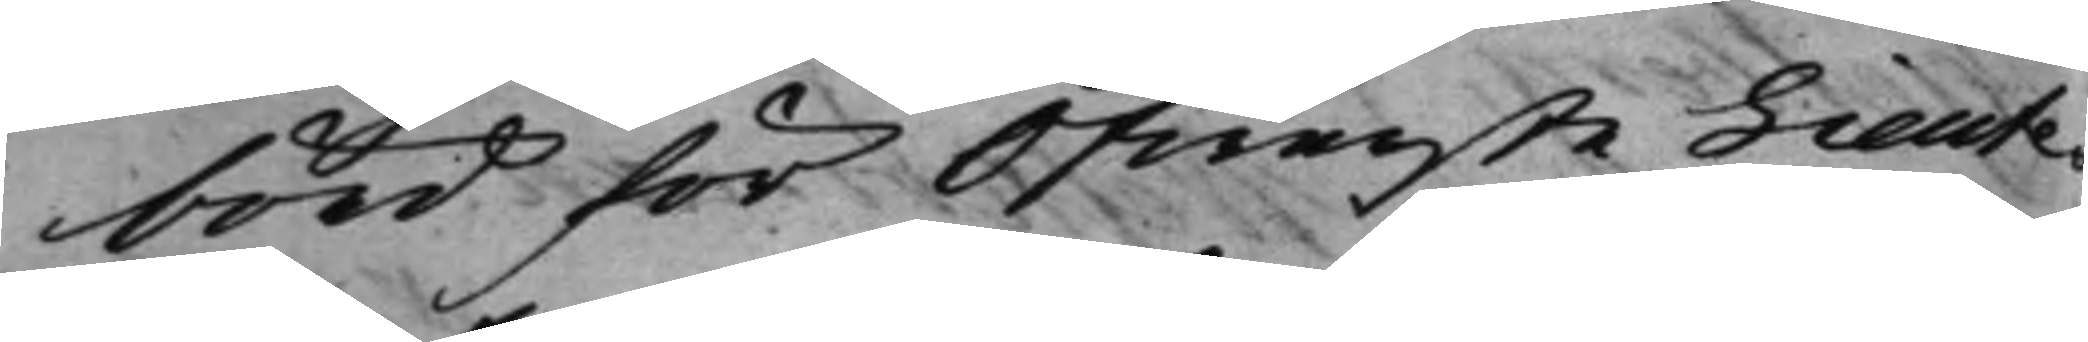börd för Öfwerste Lieute¬
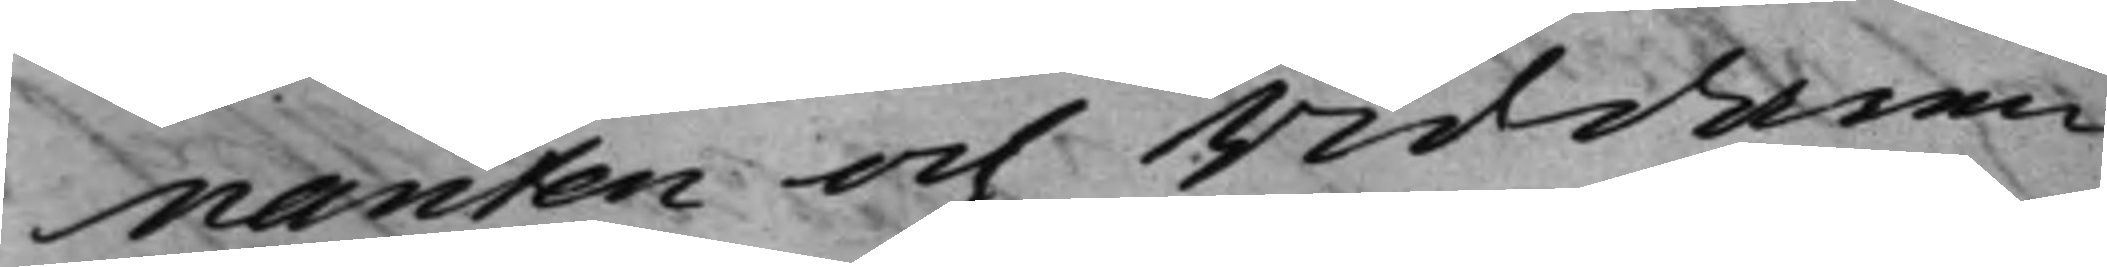nanten och Riddaren
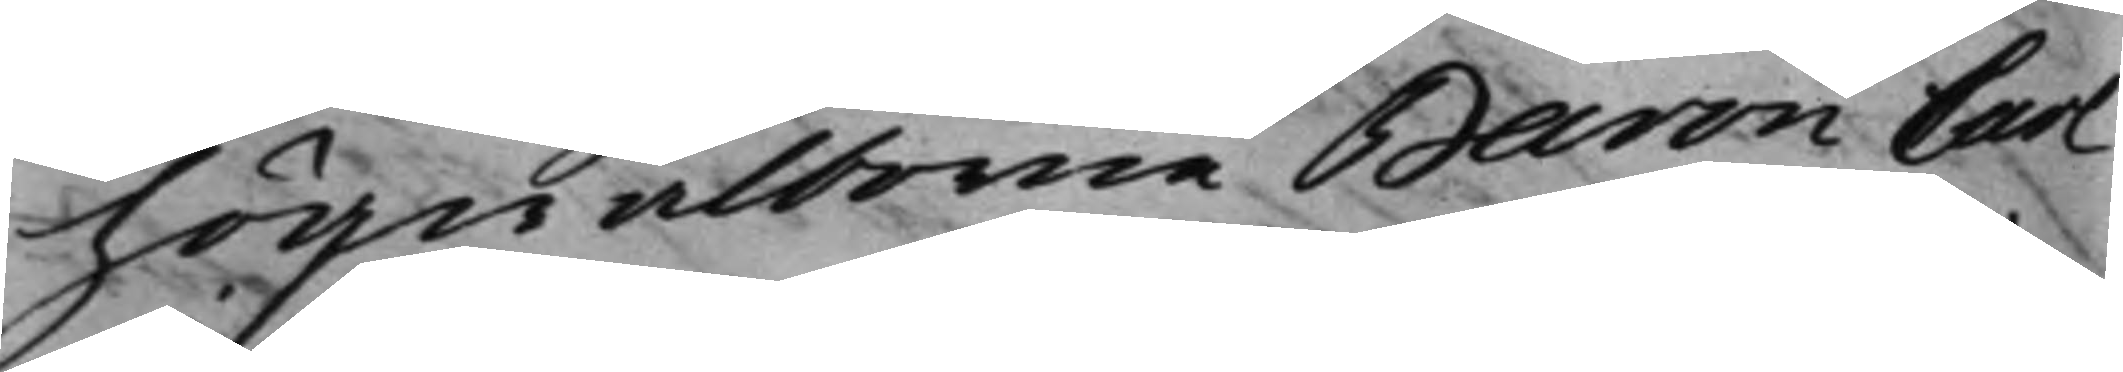högwälborne Baron Carl
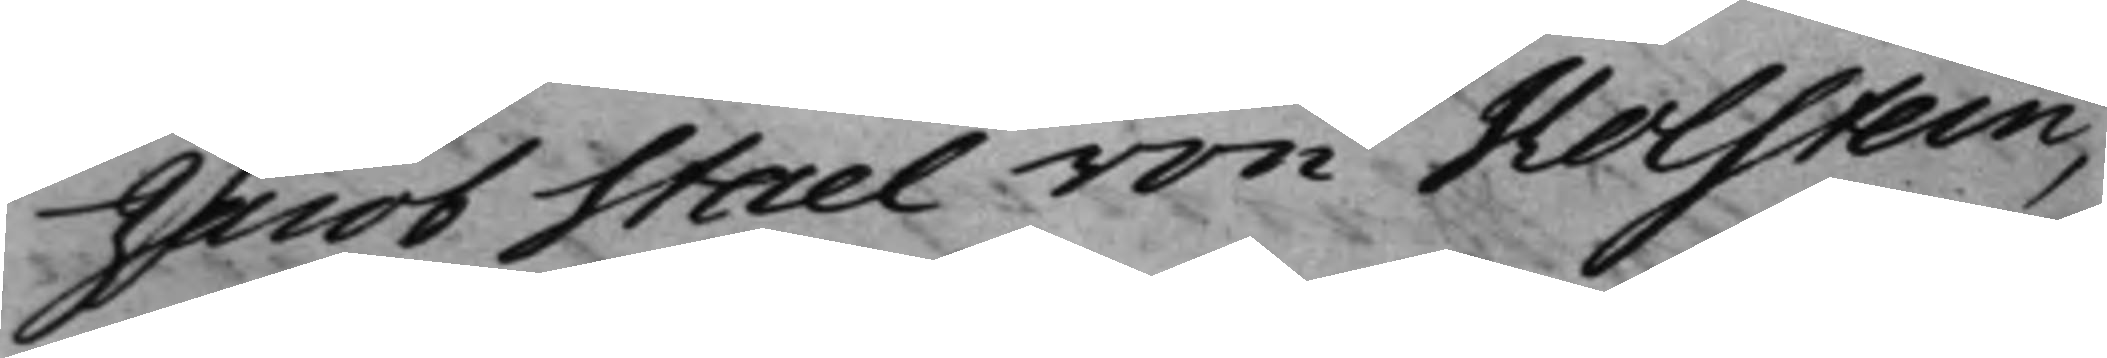Jacob Stael von Holstein,
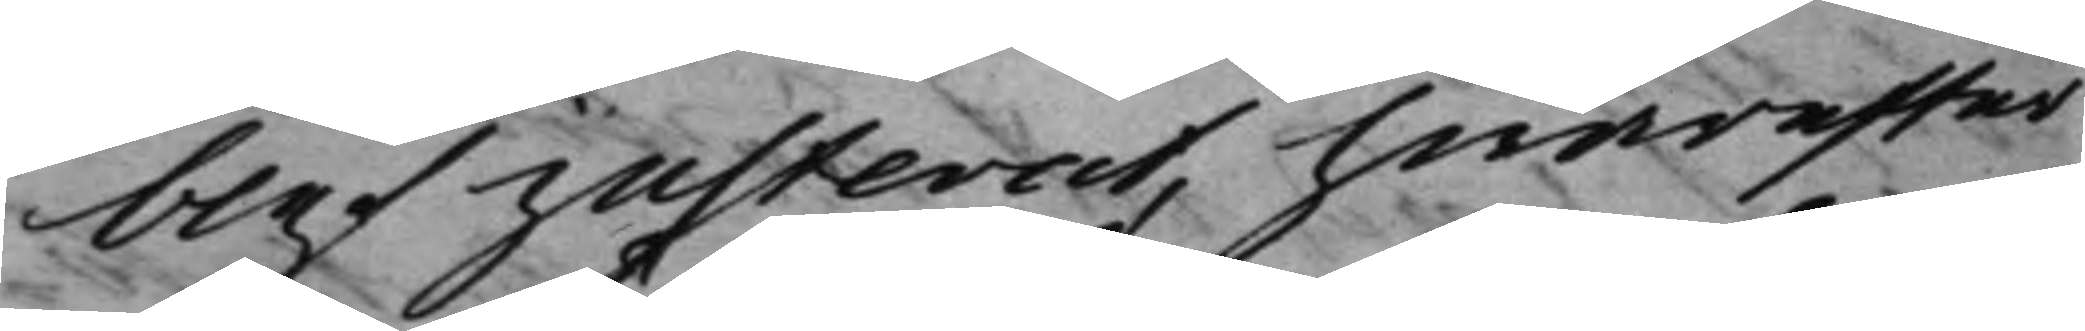blef justerat, hwarefter
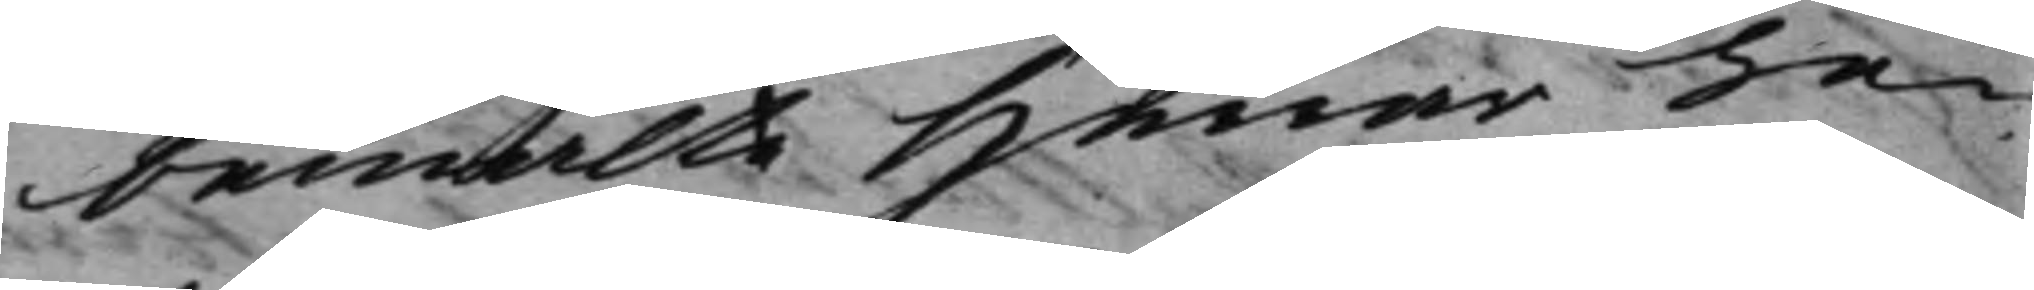bemälte Herrar Le¬
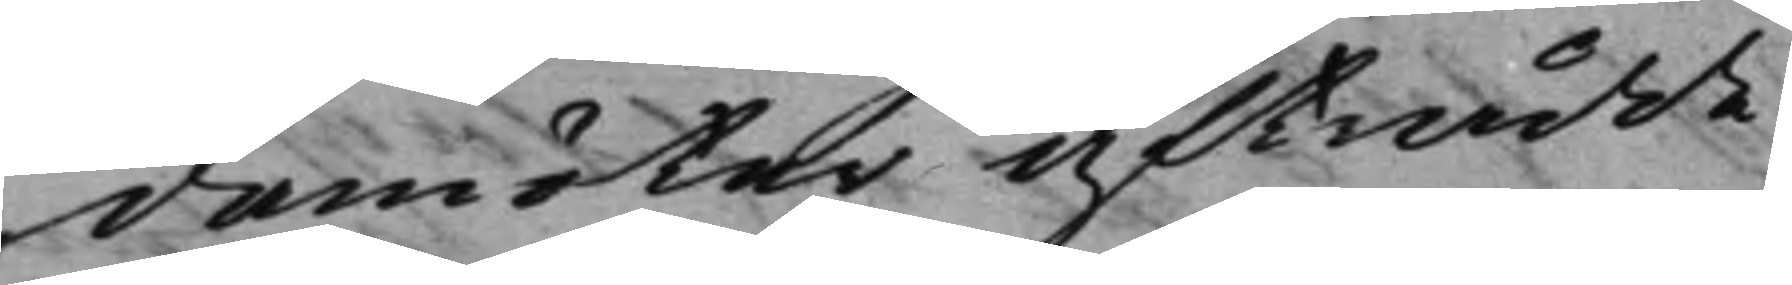damöter afträdde.
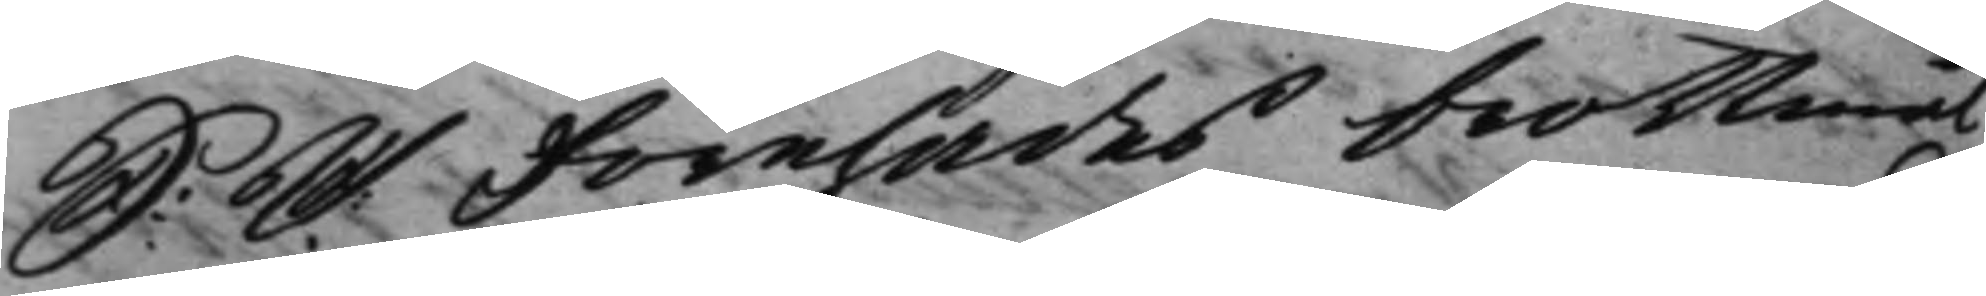S: D: Förehades brottmål 
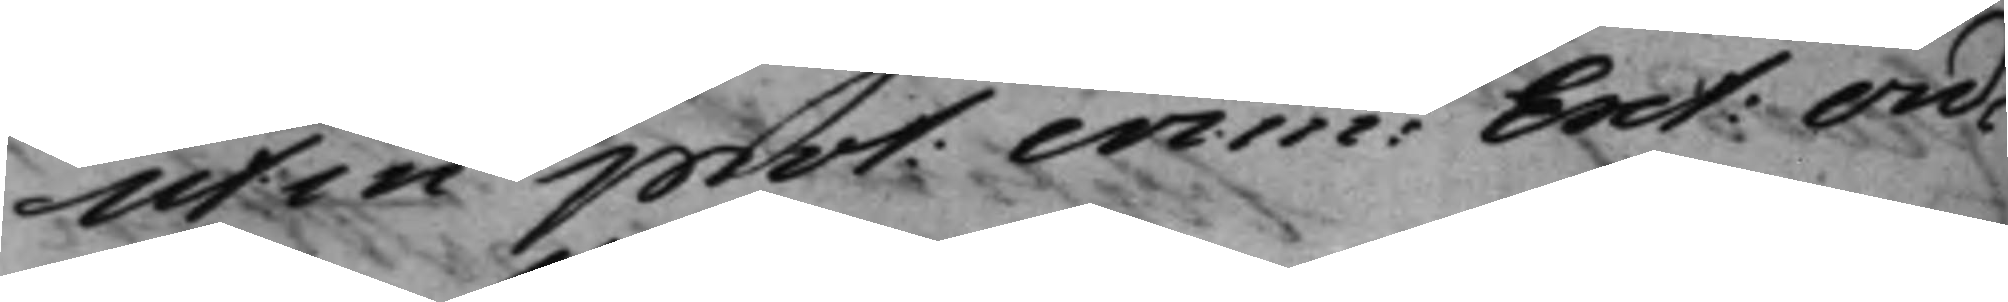ut in prot: crim: Ext: Ord: 
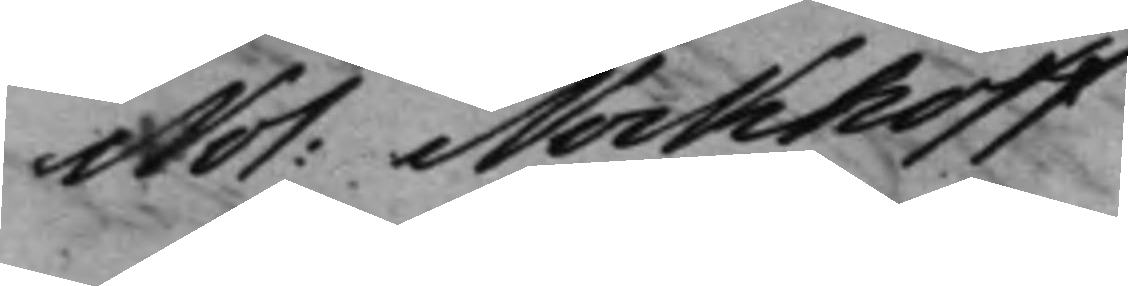Not: Nockhoff 
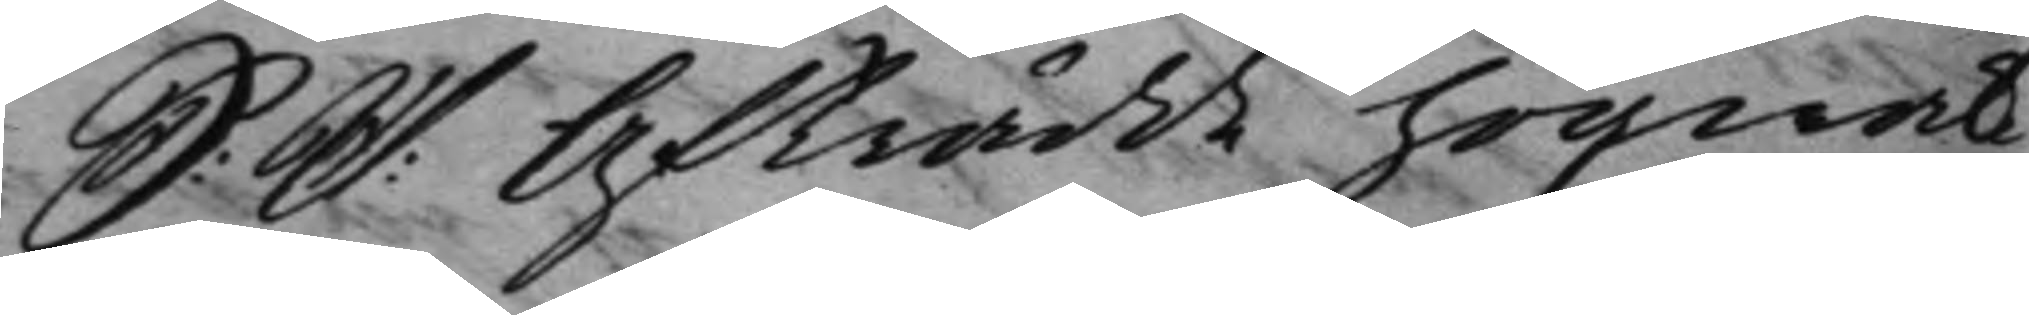S: D: Afträdde högwäl¬ 
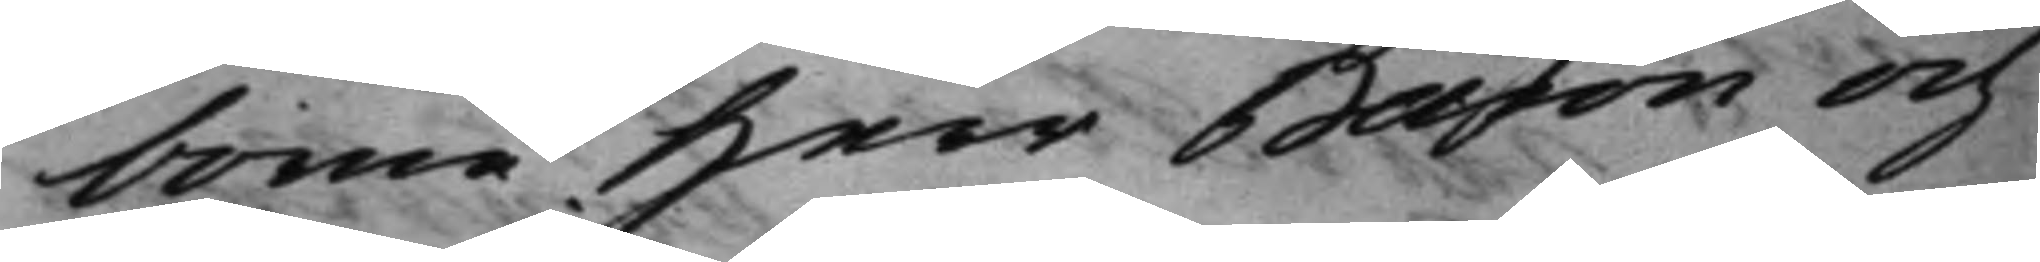borne Herr Baron och
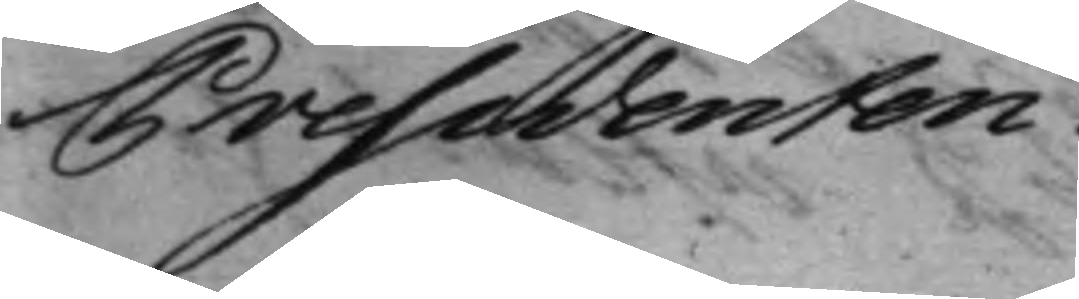Presidenten.
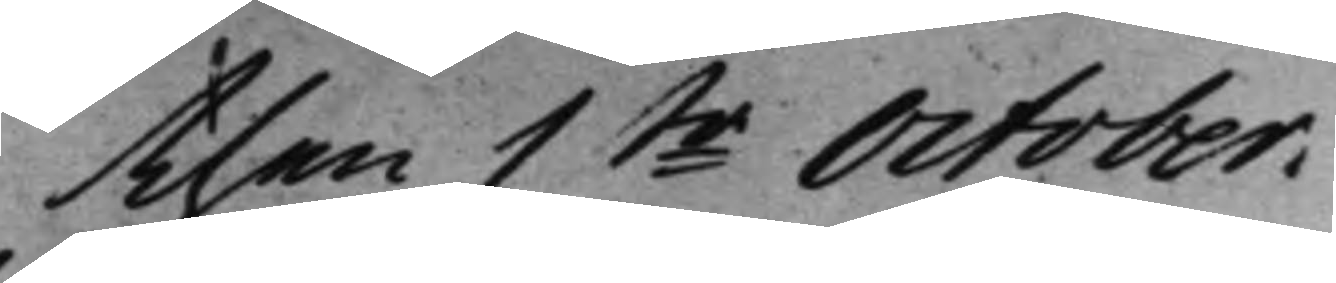then 1ste October. 
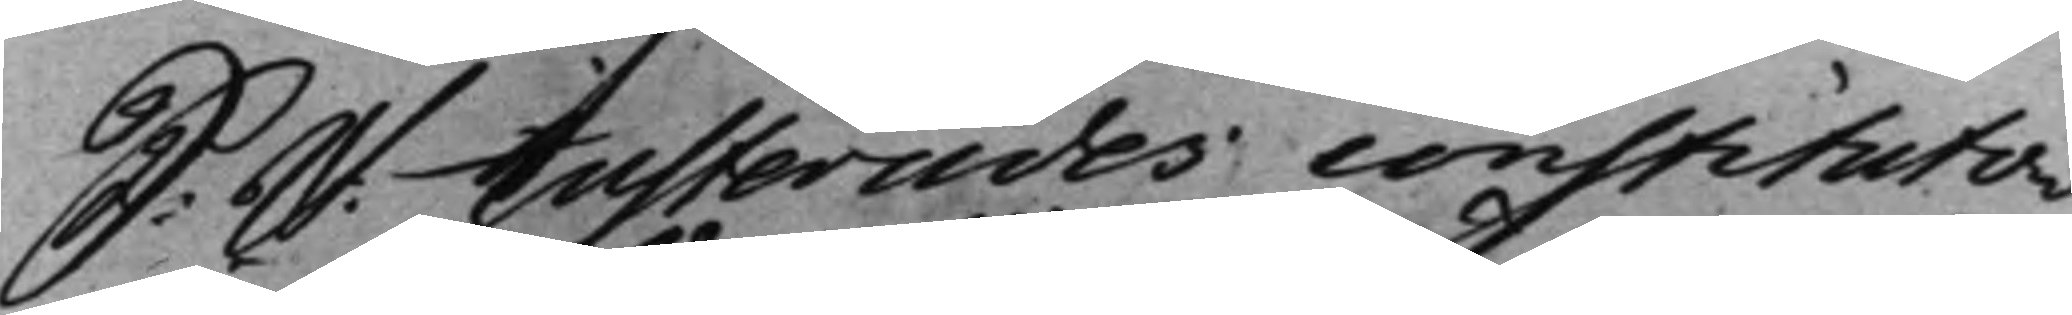S: D: Justerades constituto¬ 
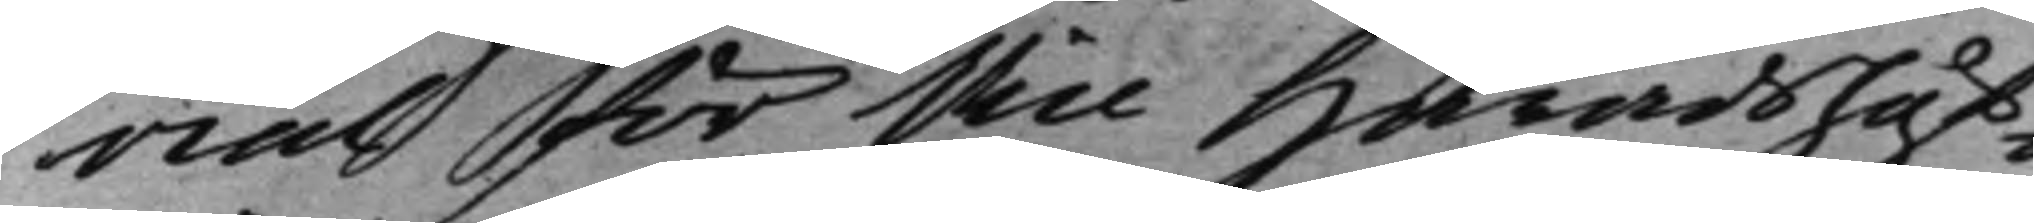rial för Vice Häradshöf¬
